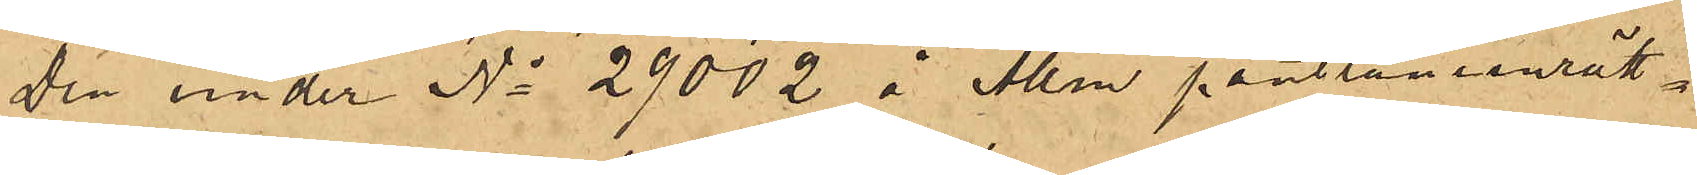Den under No 29002 å Allm pantlåneinrätt¬
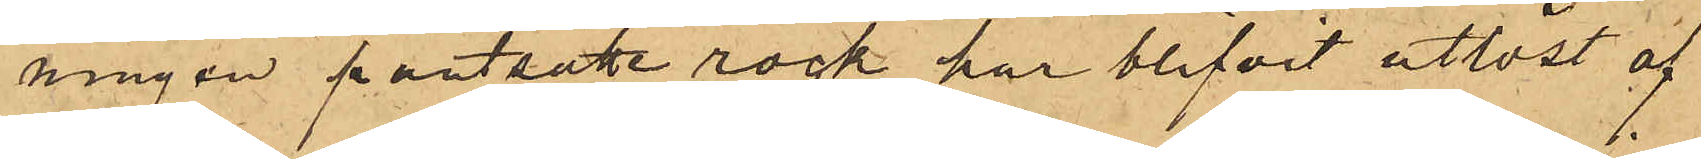ningen pantsatte rock har blifvit utlöst af
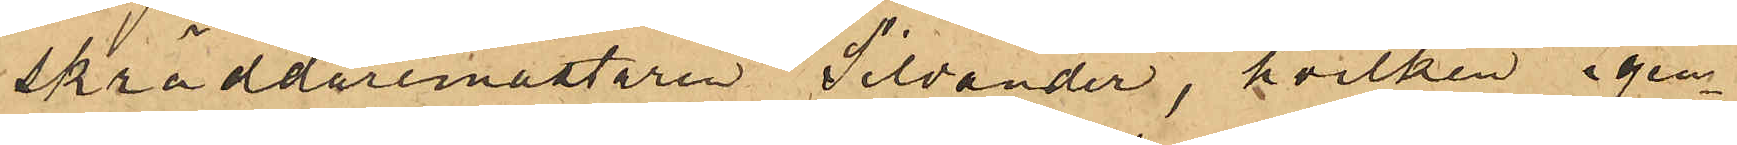skräddaremästare  Silvander, hvilken igen¬
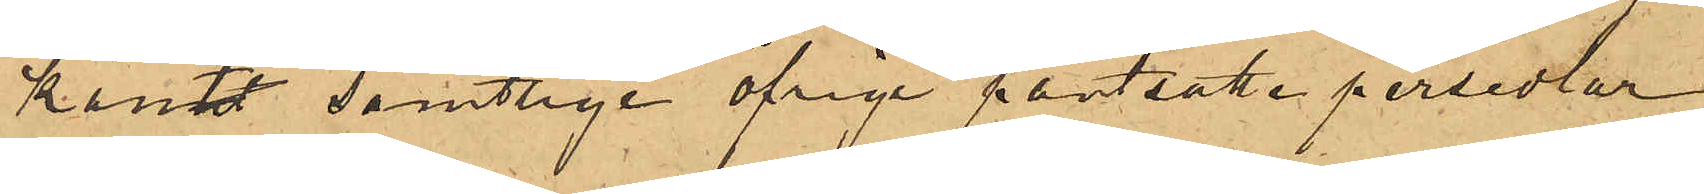känt samtlige öfriga pantsatte persedlar
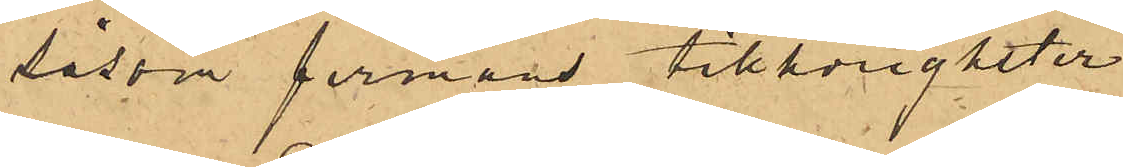såsom firmans tillhörigheter.
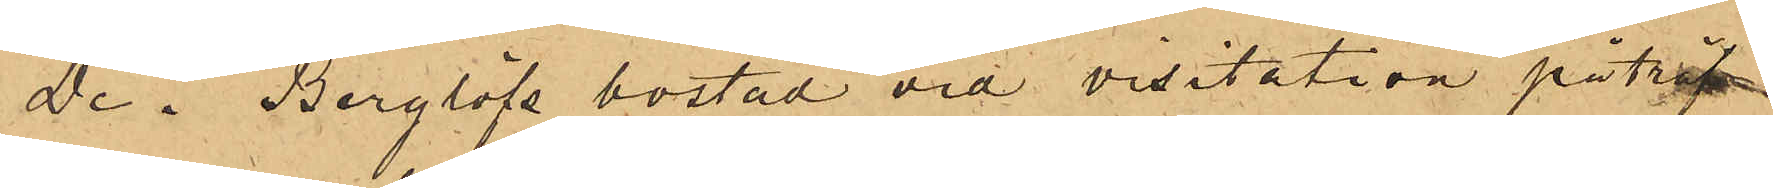De i Berglöfs bostad vid visitation påträf¬
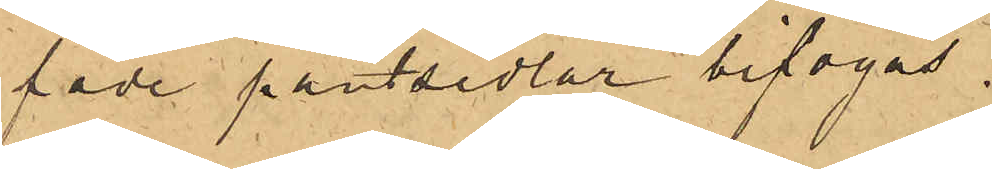fade pantsedlar bifogas.
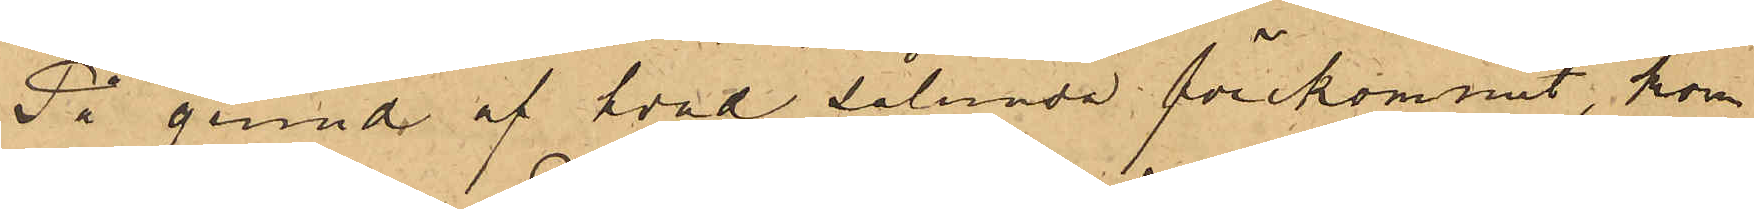På grund af hvad sålunda förekommit, kom¬
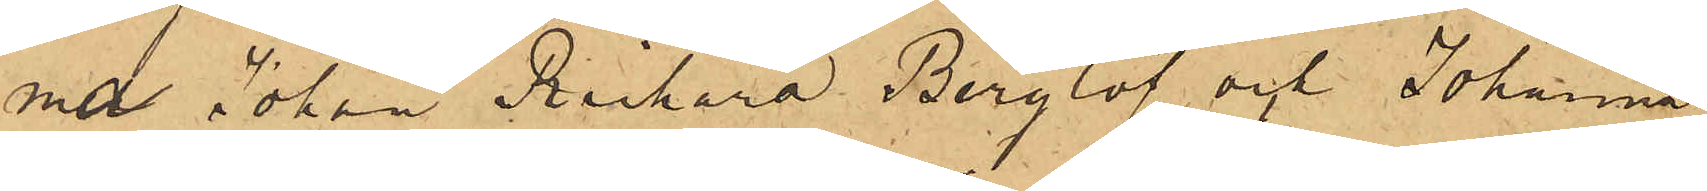ma Johan Richard Berglöf och Johanna
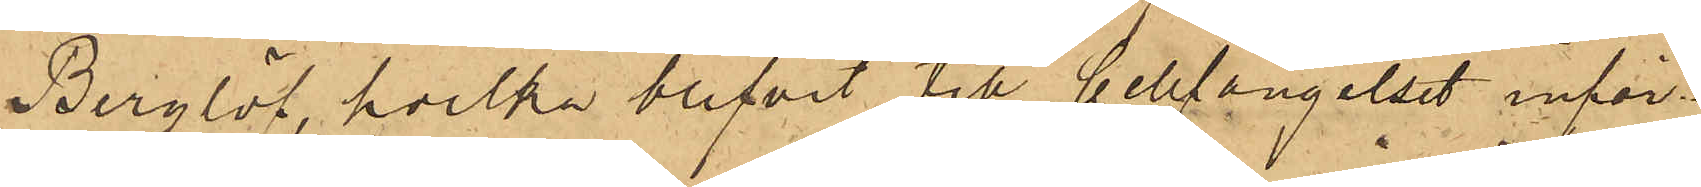Berglöf, hvilka blifvit till Cellfängelset inför¬
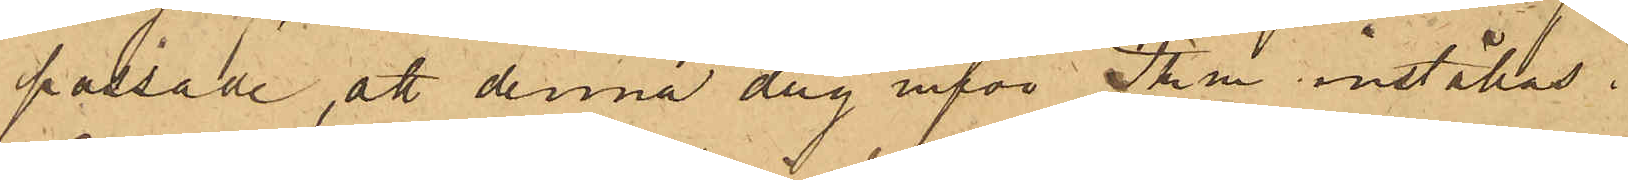passade, att denna dag inför Pkm inställas.
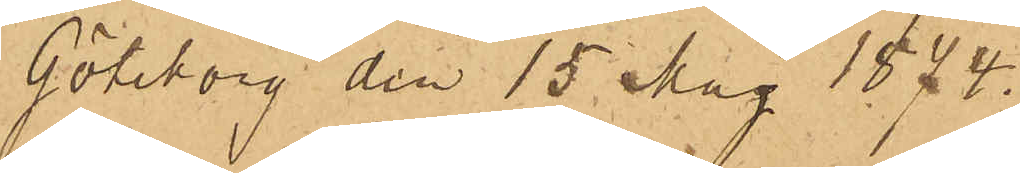Göteborg den 15 Maj 1874.
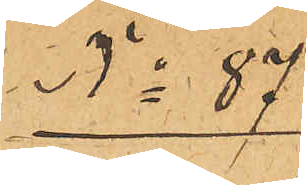No 87
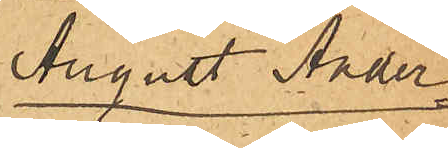August Ander¬
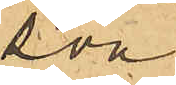son
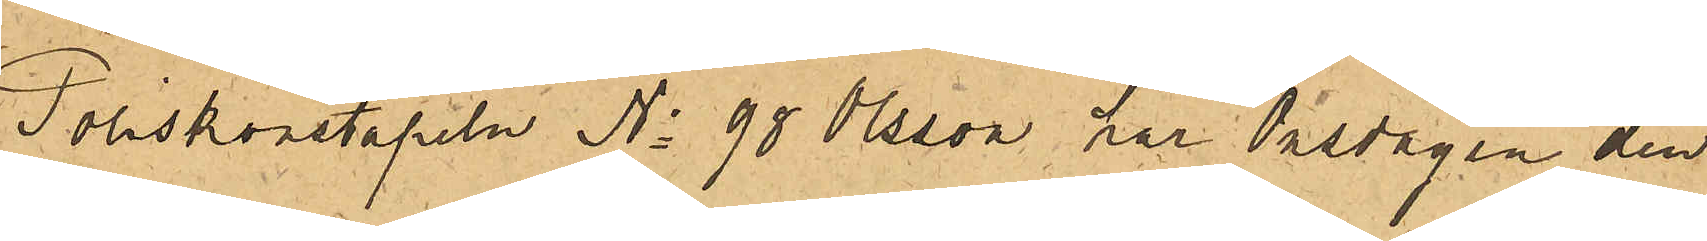Poliskonstapeln No 90 Olsson har Onsdagen den 
